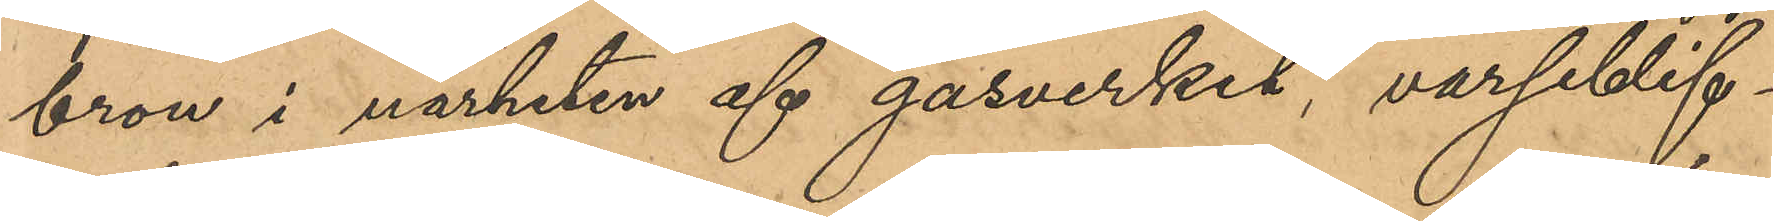bron i närheten af gasverket, varseblif¬
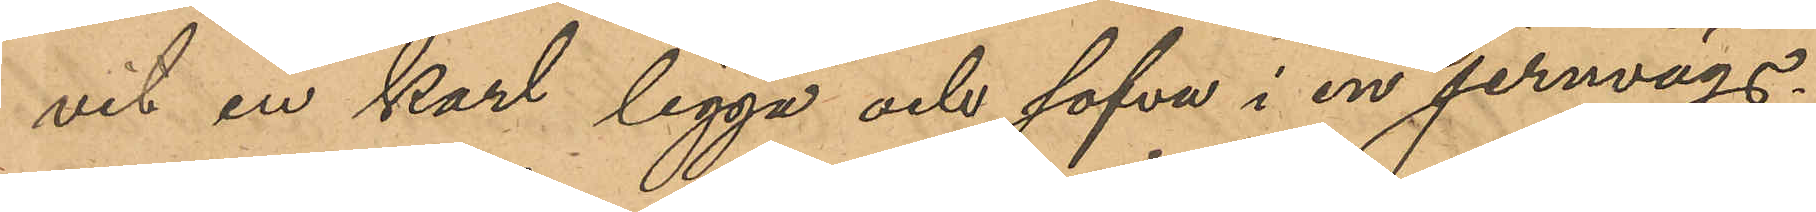vit en karl ligga och sofva i en jernvägs¬
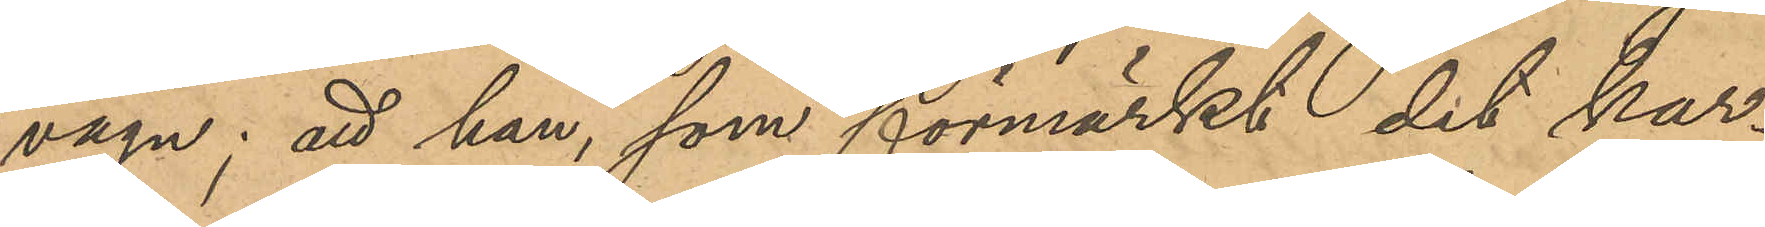vagn; att han, som förmärkt det kar¬
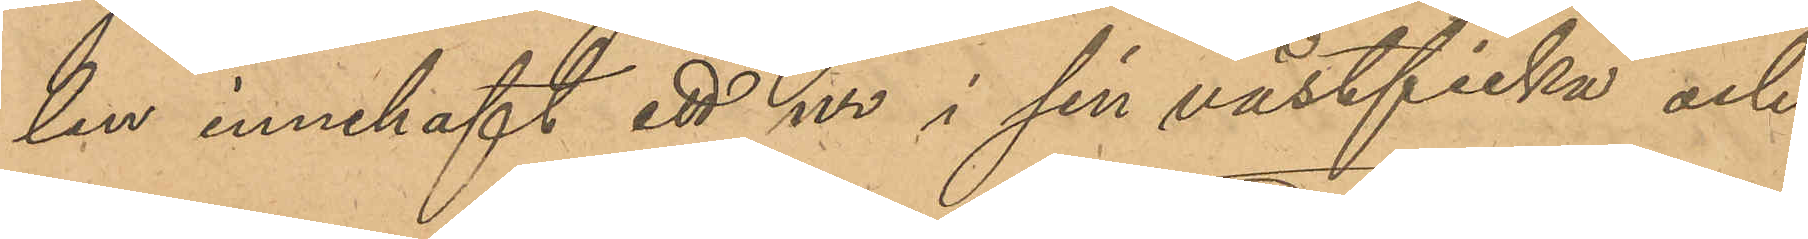len innehaft ett ur i sin västficka och
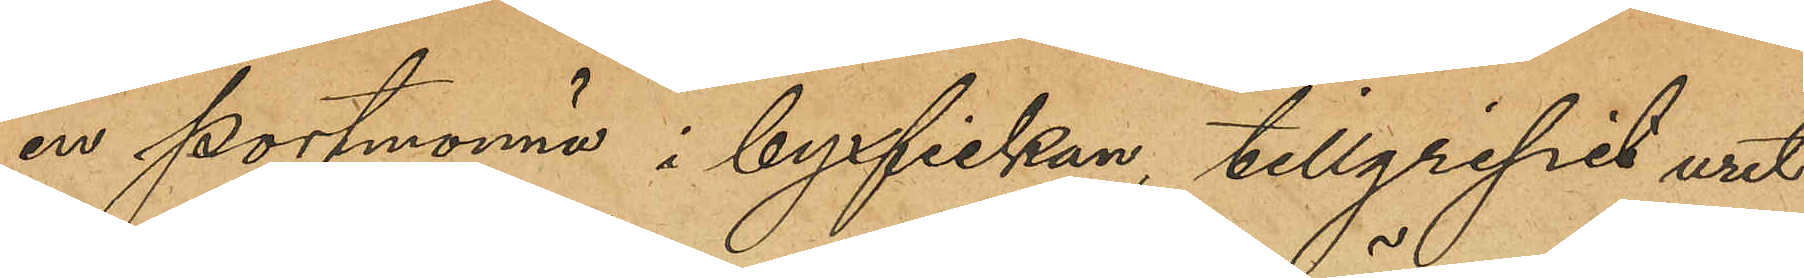en portmonnä i byxfickan, tillgripit uret
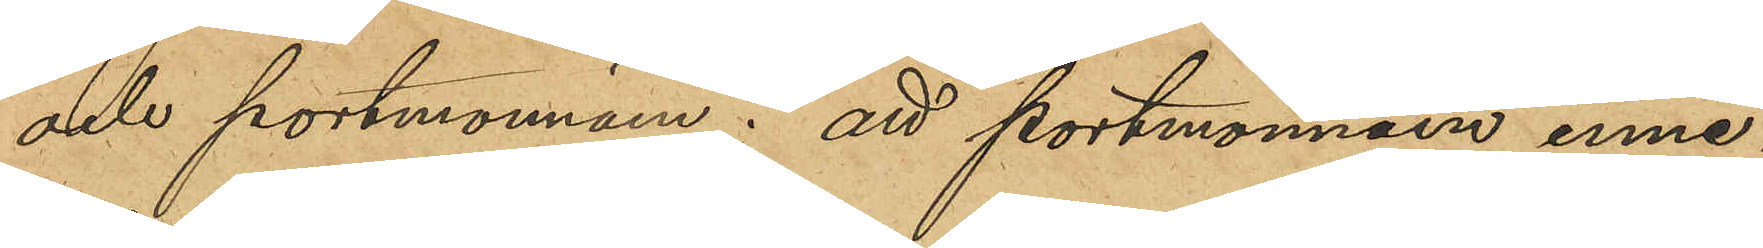och portmonnäen; att portmonnäen inne¬
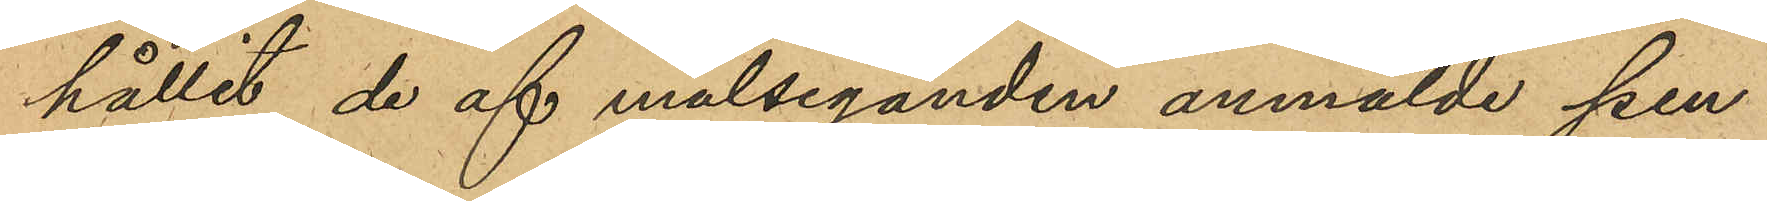hållit de af målseganden anmälde pen¬
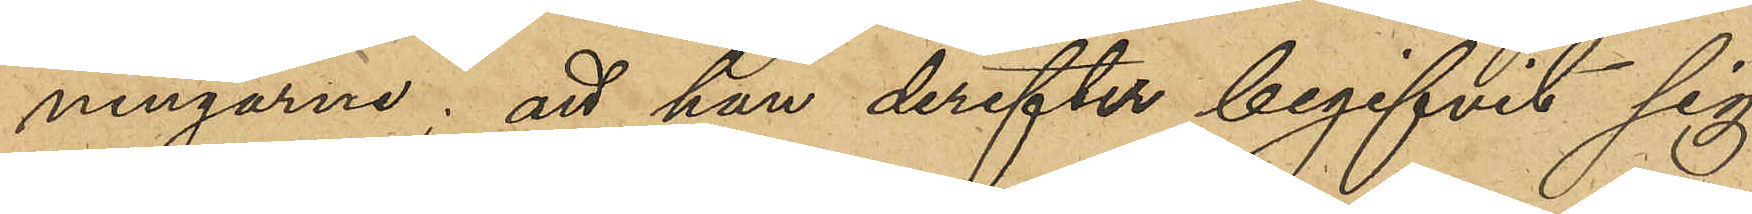ningarne; att han derefter begifvit sig
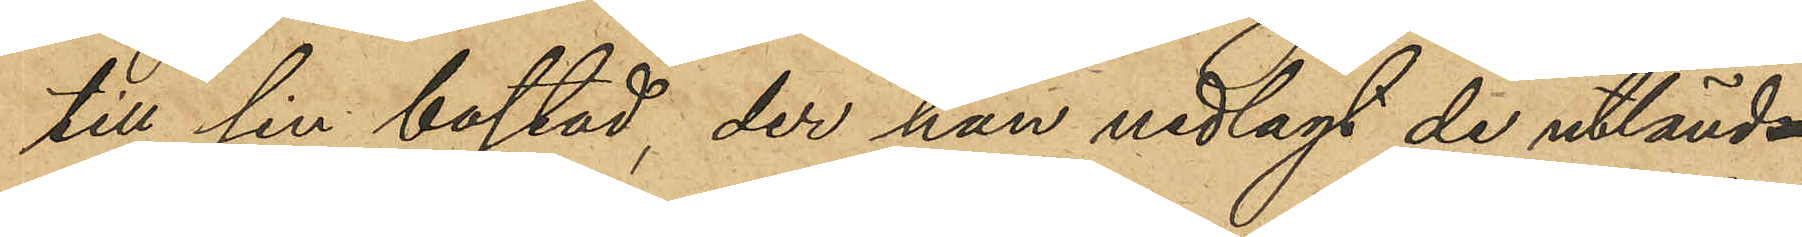till sin bostad, der han nedlagt de utländ¬
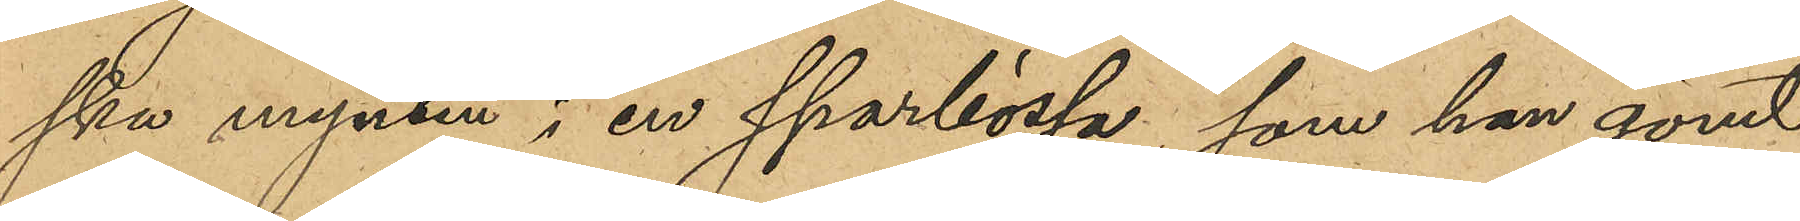ska mynten i en sparbössa, som han gömt
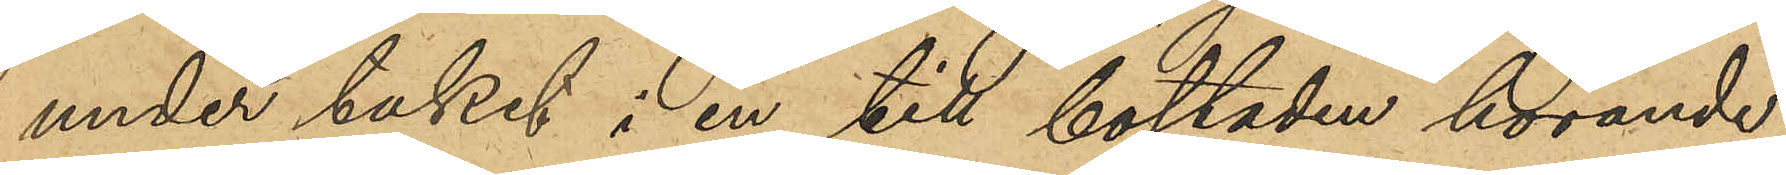under taket i en till bostaden hörande
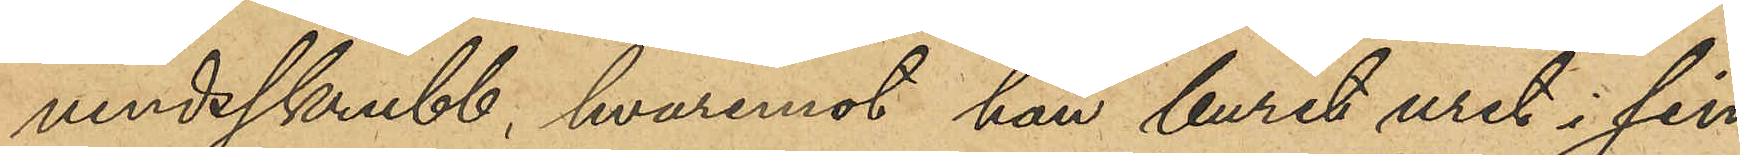vindsskrubb, hvaremot han burit uret i sin
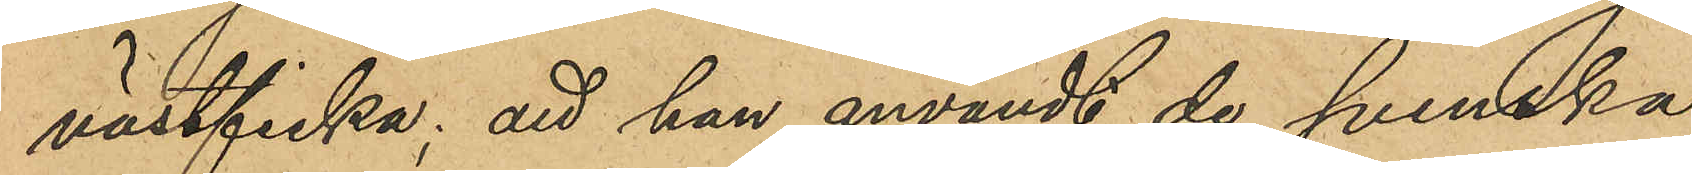västficka; att han användt de svenska
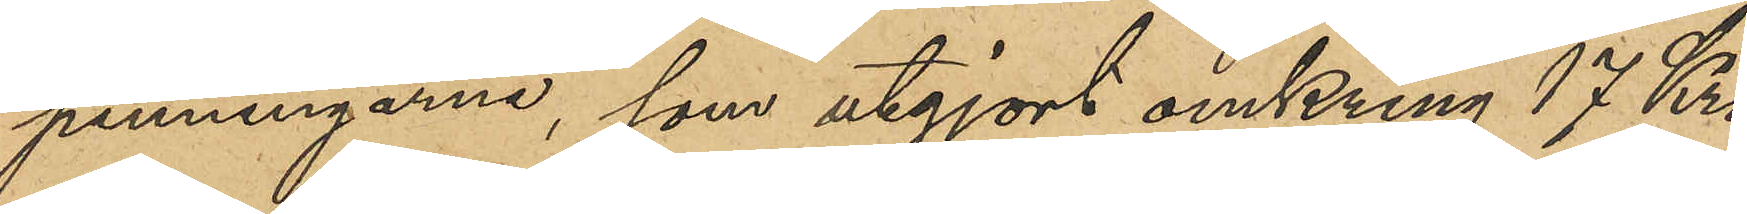penningarne, som utgjort omkring 17 Kro¬
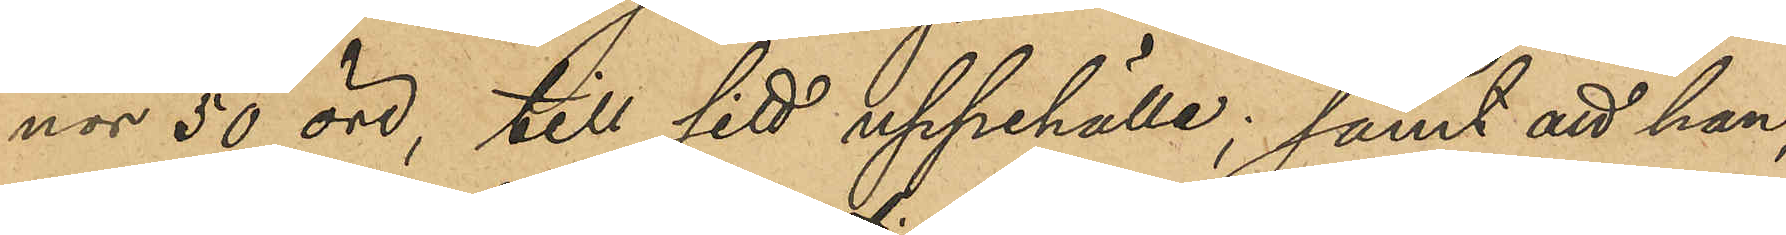nor 50 öre, till sitt uppehälle; samt att han,
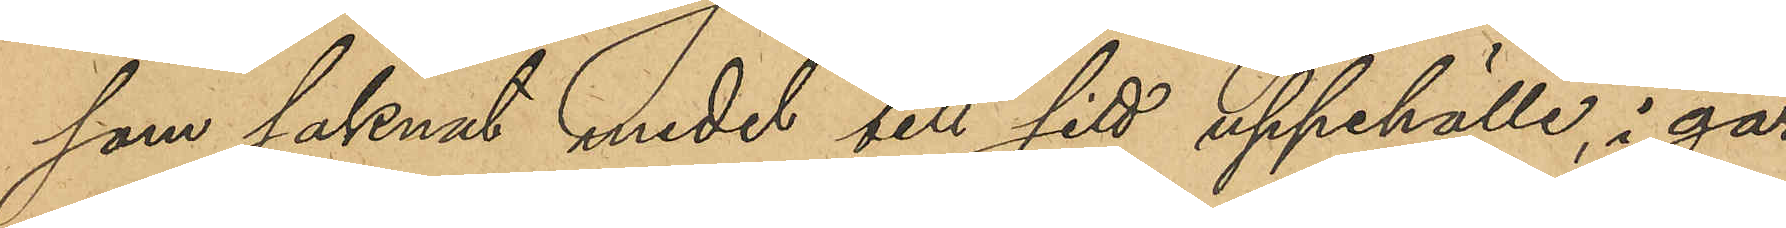som saknat medel till sitt uppehälle, i går
